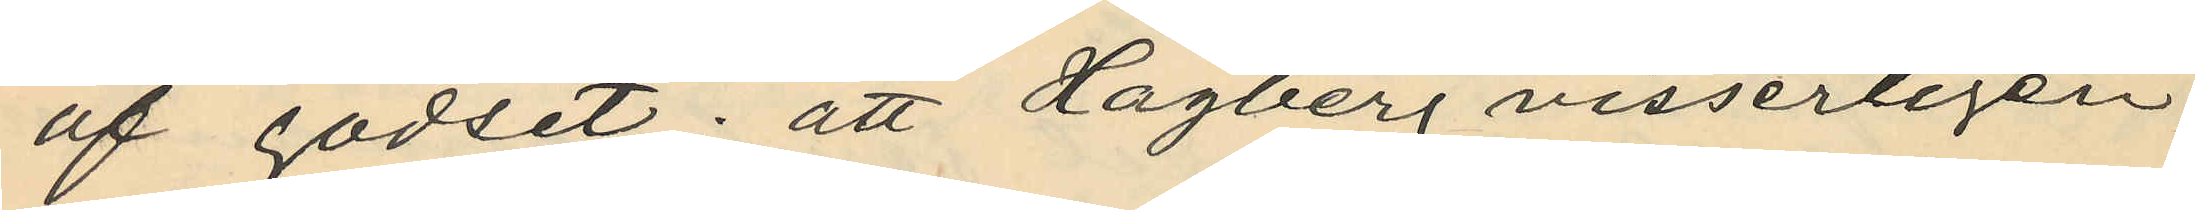af godset; att Hagberg visserligen
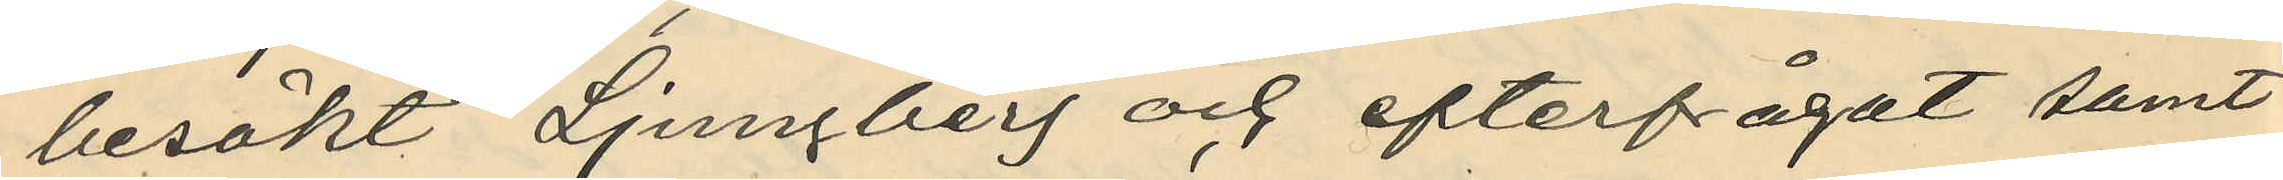besökt Ljungberg och efterfrågat samt
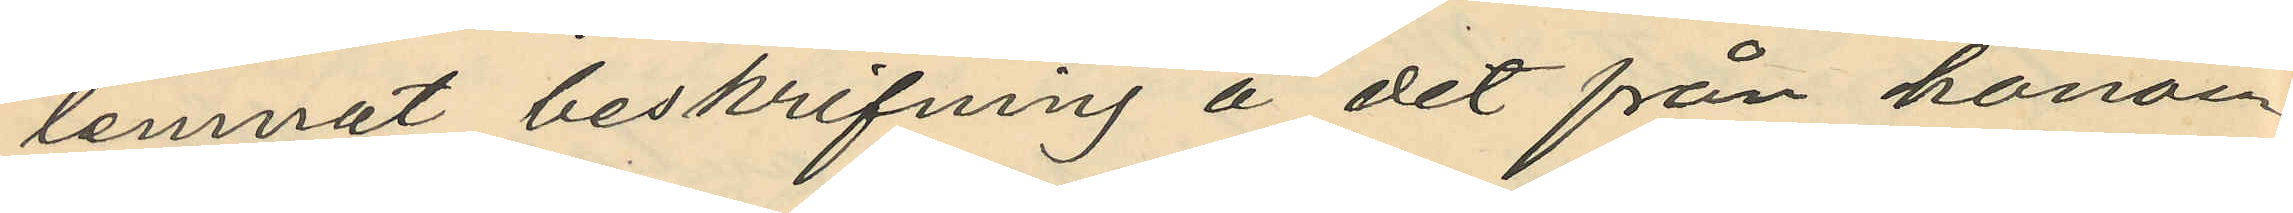lemnat beskrifning å det från honom
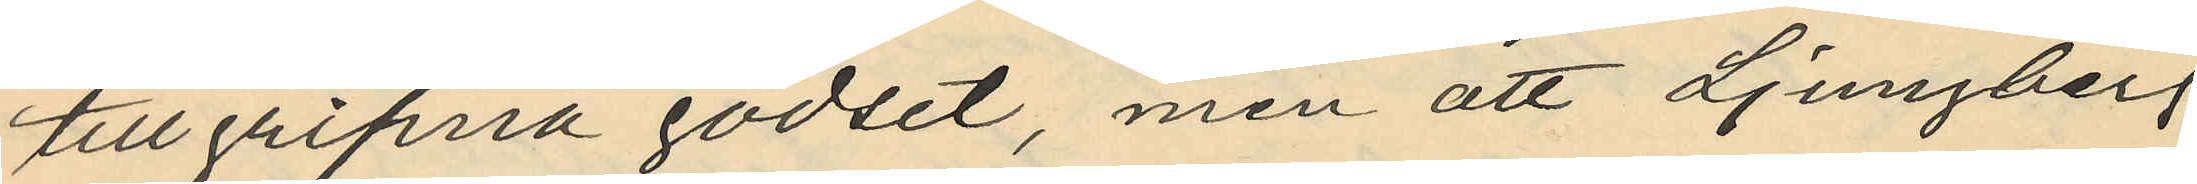tillgripna godset, men att Ljungberg
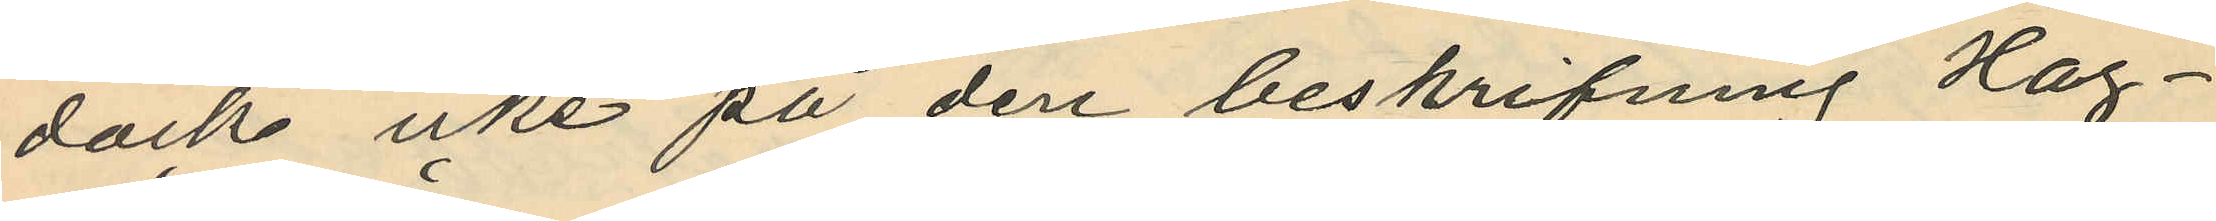dock icke på den beskrifning Hag¬
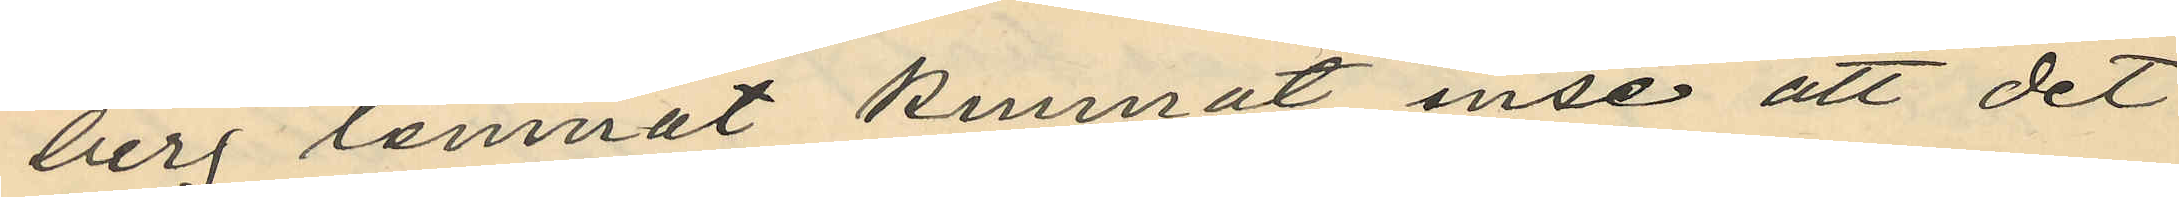berg lemnat kunnat inse att det
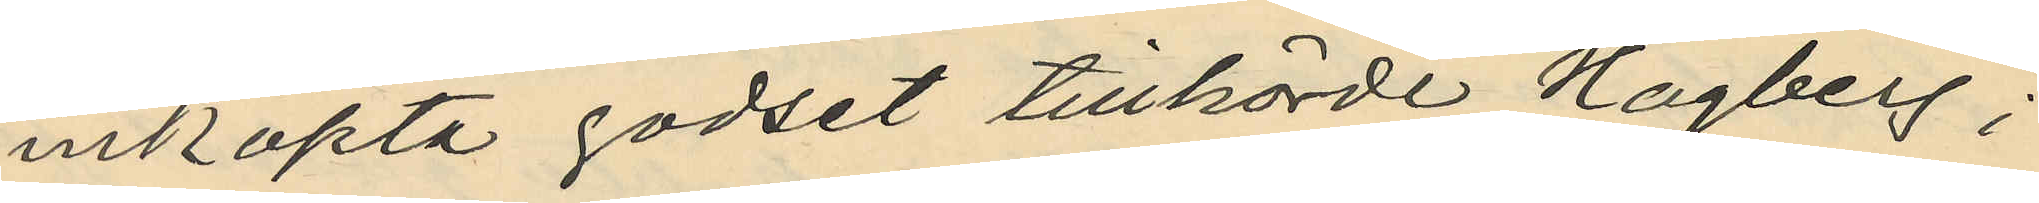inköpta godset tillhörde Hagberg;
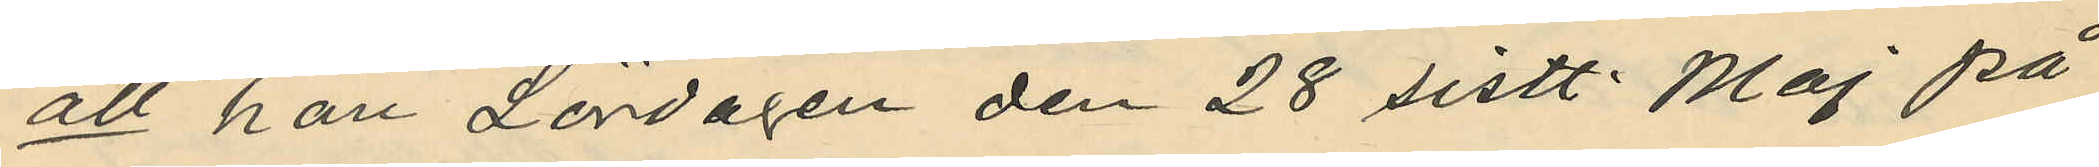att han Lördagen den 28 sistl. Maj på
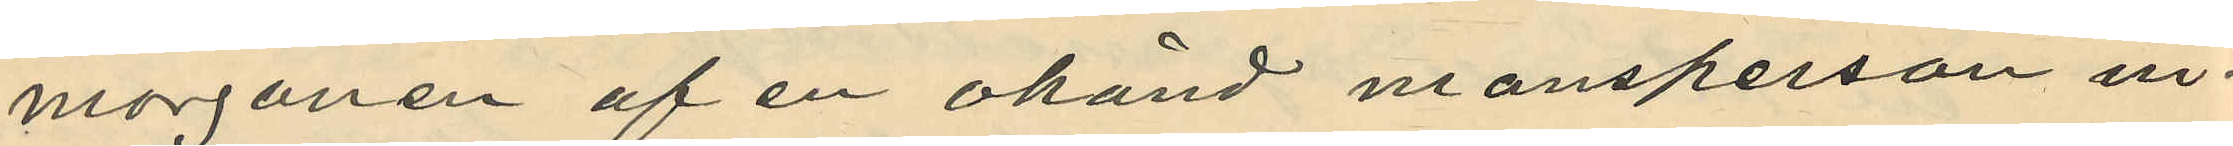morgonen af en okänd mansperson in¬
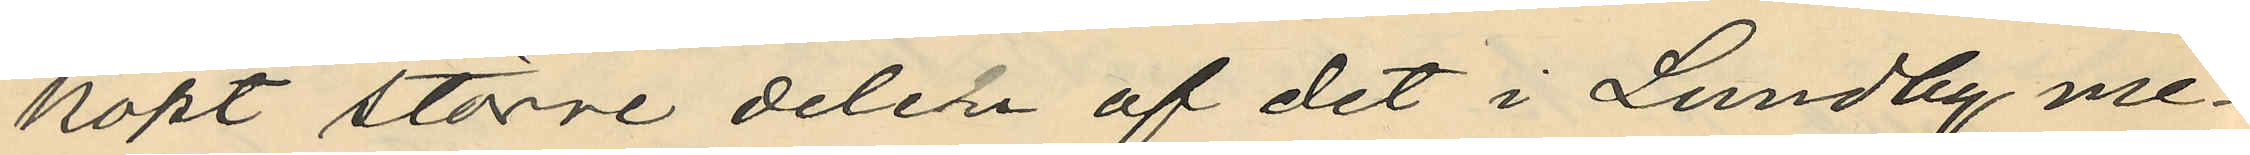köpt större delen af det i Lundby, me¬
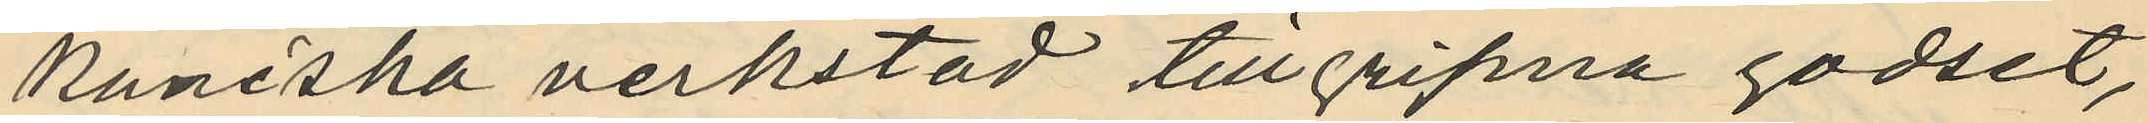kaniska verkstad tillgripna godset,
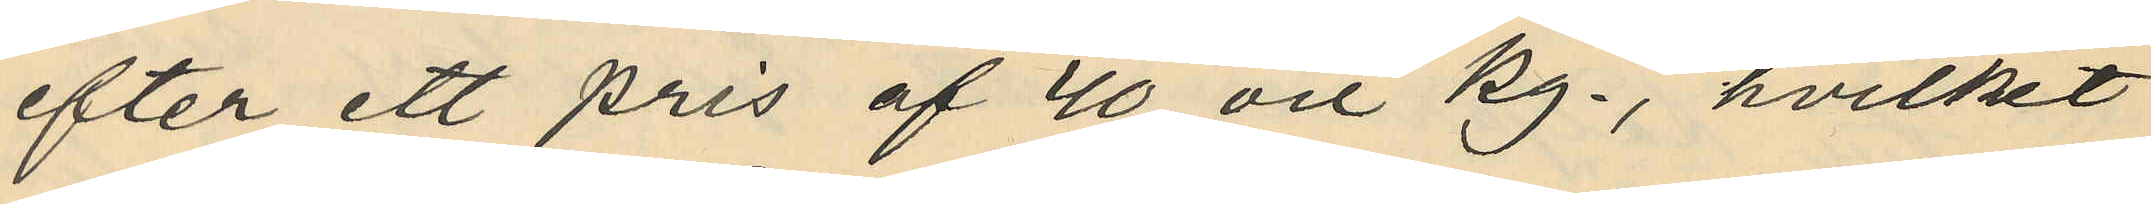efter ett pris af 40 öre kg., hvilket
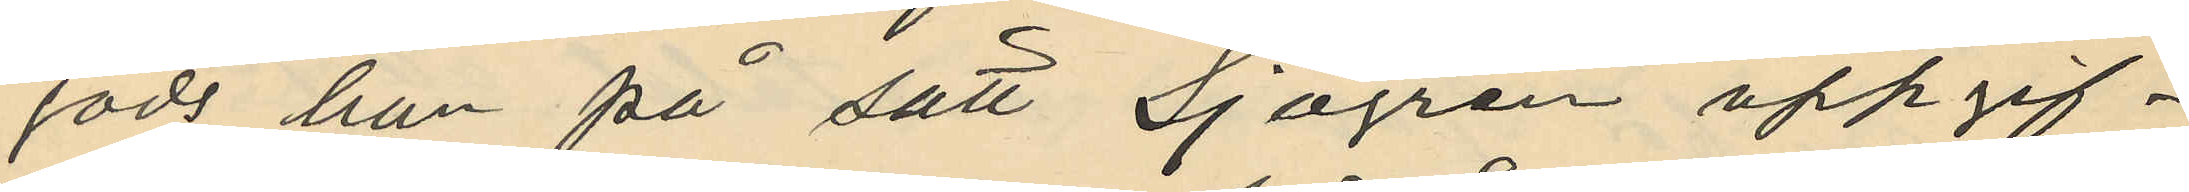gods han på sätt Sjögren uppgif¬
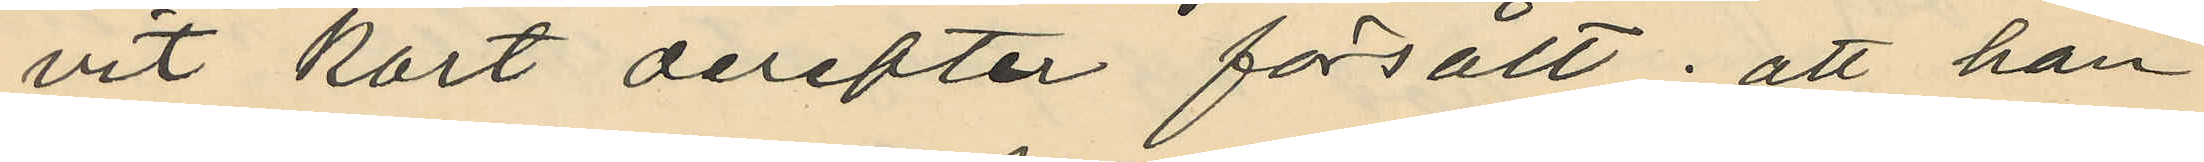vit kort derefter försålt. att han
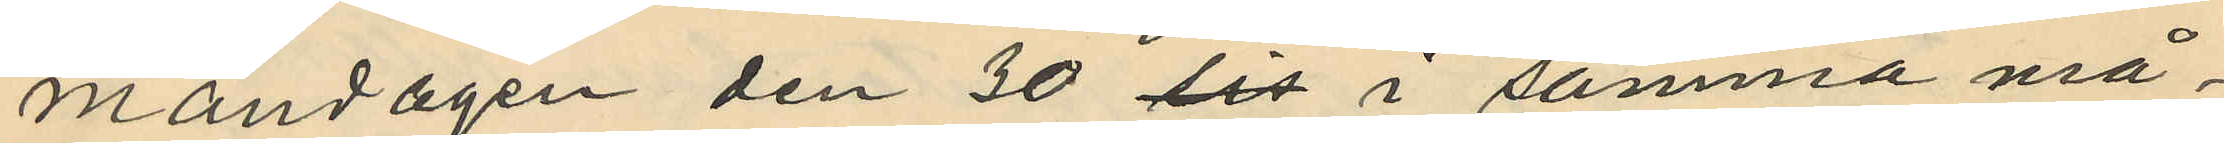måndagen den 30 sis i samma må¬
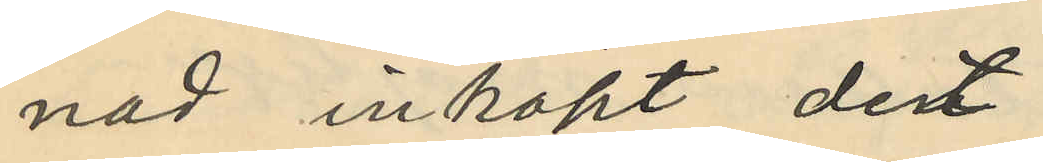nad inköpt det
